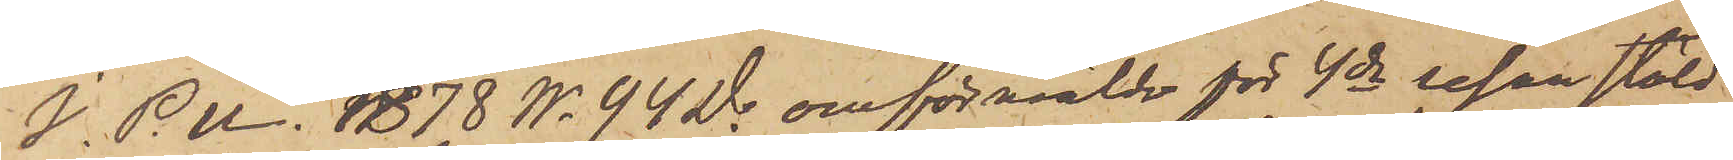I. P. U. 1878 No 94 D. omförmälde för 4de resan stöld
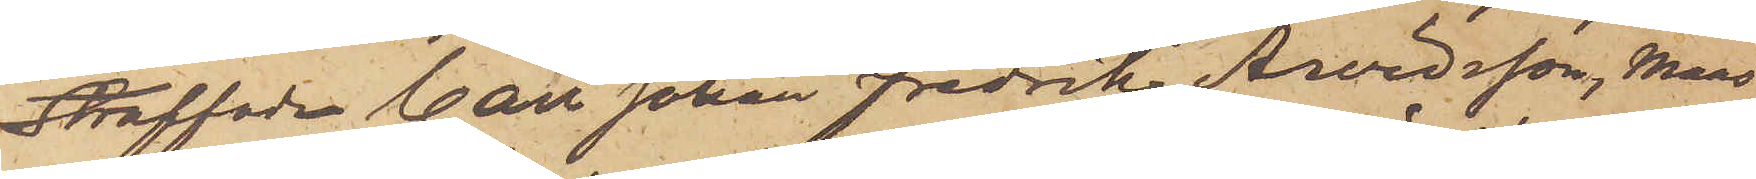Straffade Carl Johan Fredrik Arvidsson, Mans¬
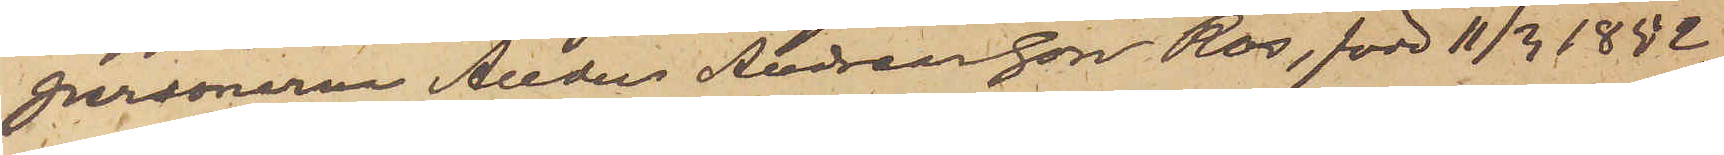personerna Anders Andreasson Ros, född 11/3 1852,
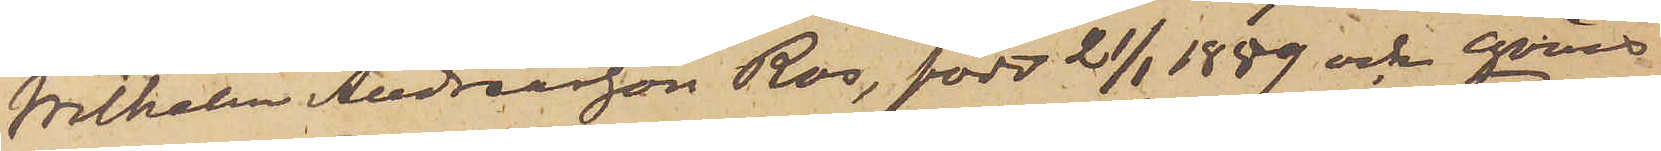Wilhelm Andreasson Ros, född 21/1 1859 och Qvins¬
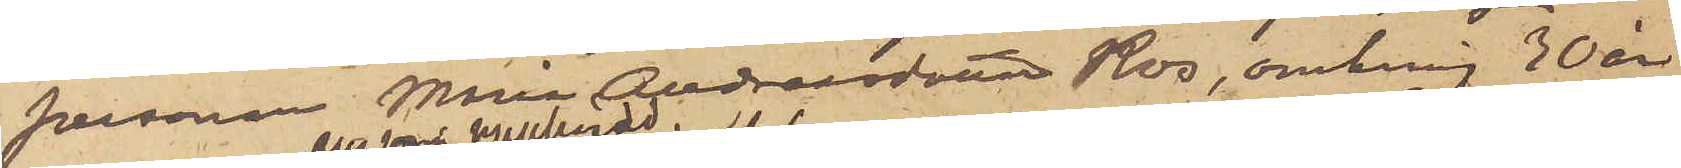personen Maria Andreasdotter Ros, omkring 30 år
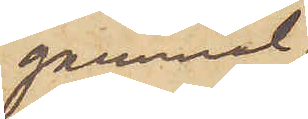gammal,
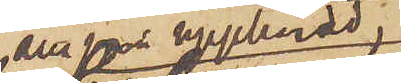alla från Upphärad
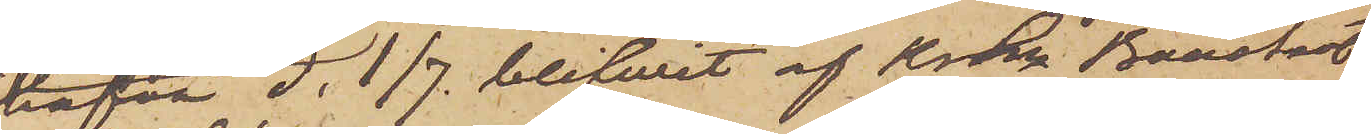hafva d. 1/7. blifwit af Krln Boustedt
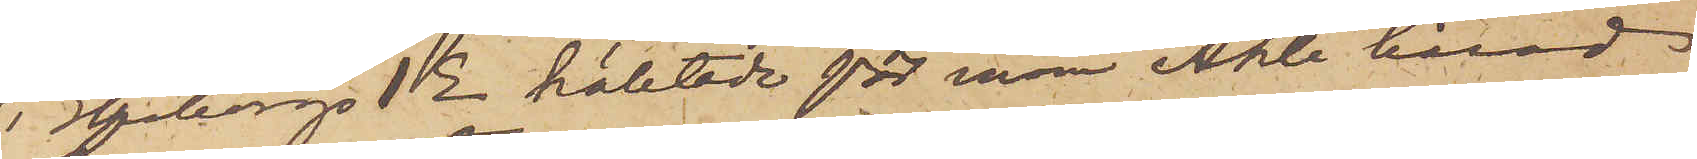i Elfborgs 1 E häktade för inom Ahle härad
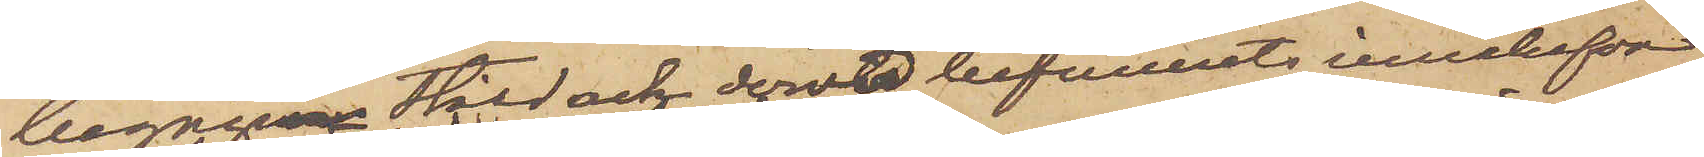begågnen stöld och dervid befunnits innehafva
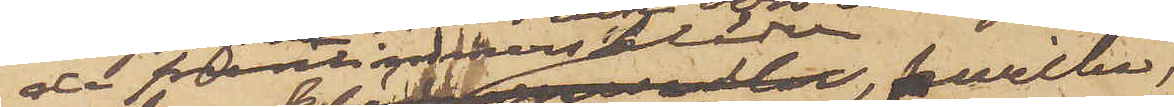de fruntimmerskläder, hwilka
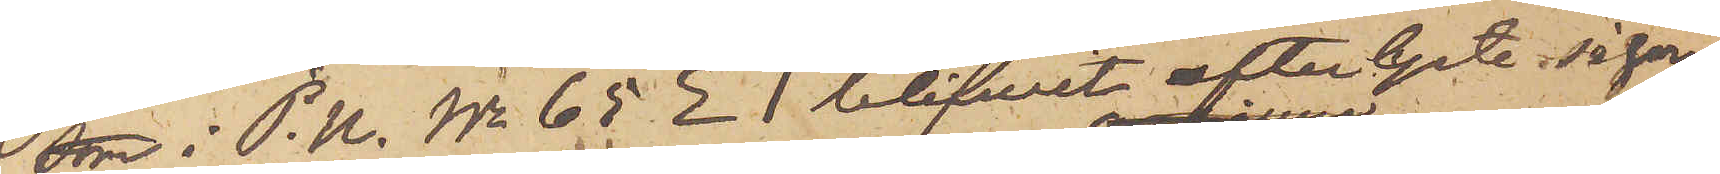som i P. U. No 65 E 1 blifvit efterlyste såsom
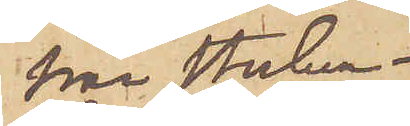frånstulna.
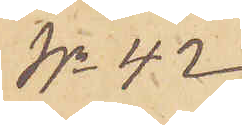No 42
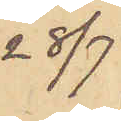28/7
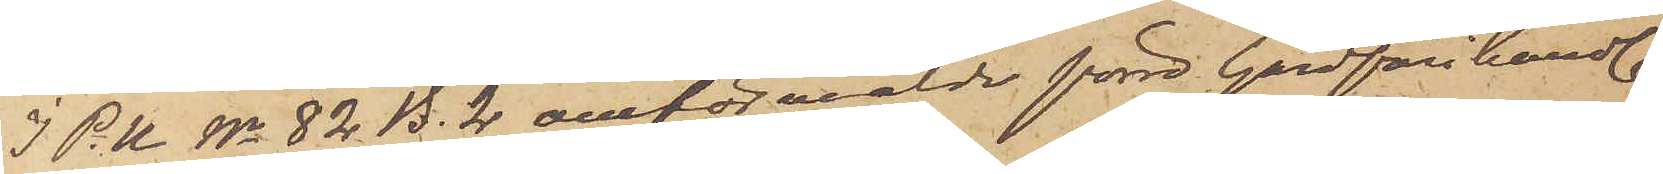I P.U No 82 B. 2 omförmälde förre Gårdfarihandl.
